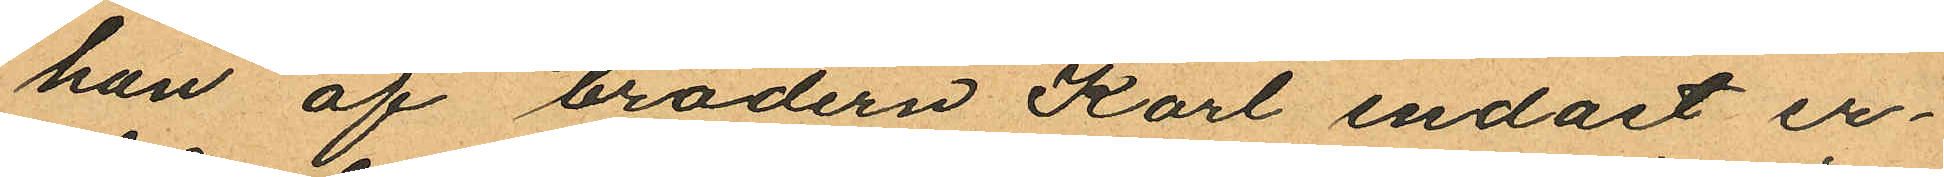han af brodern Karl endast er¬
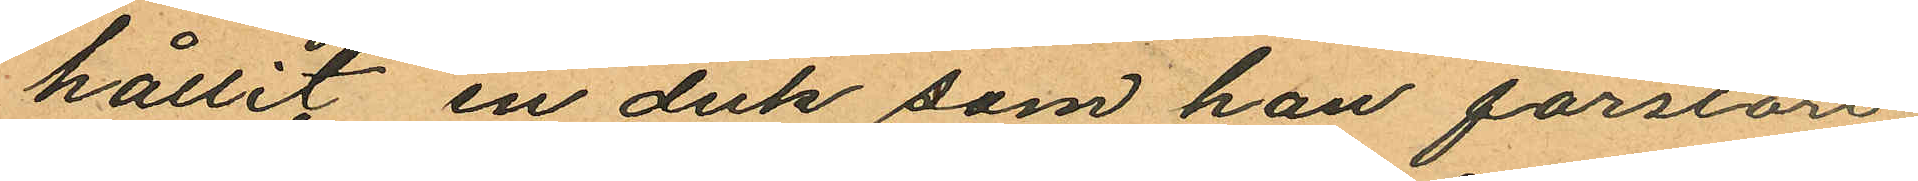hållit en duk som han förstört.
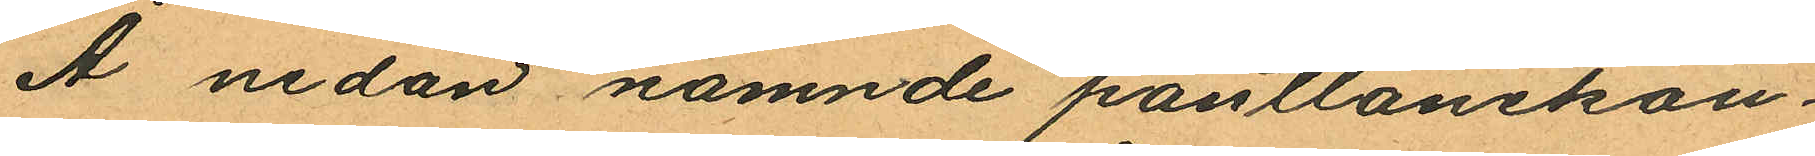Å nedan namnde pantlånekon¬
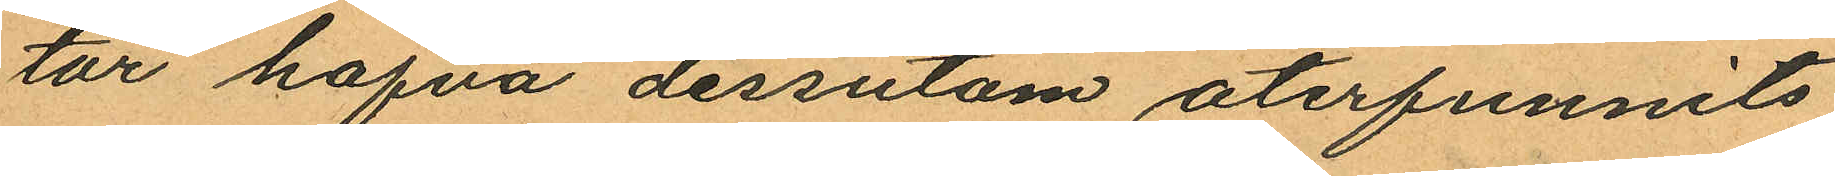tor hafva dessutom återfunnits
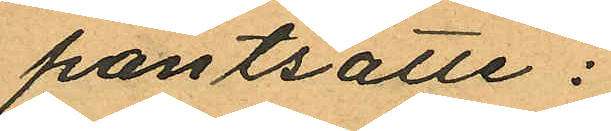pantsatte:
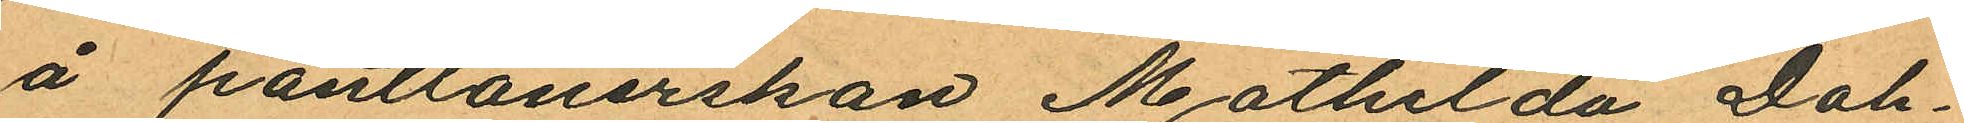å pantlånerskan Mathilda Dah¬
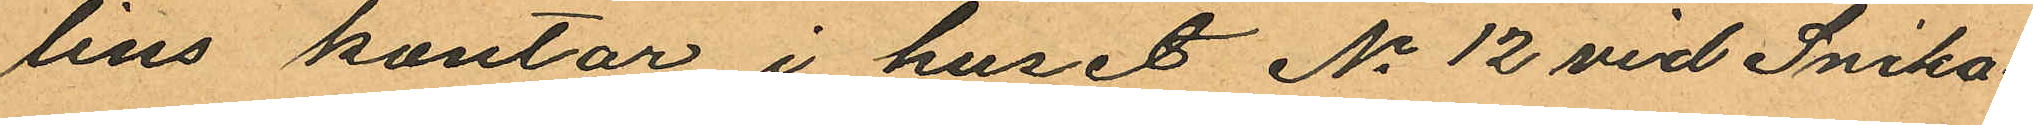lins kontor i huset No 12 vid Snicka
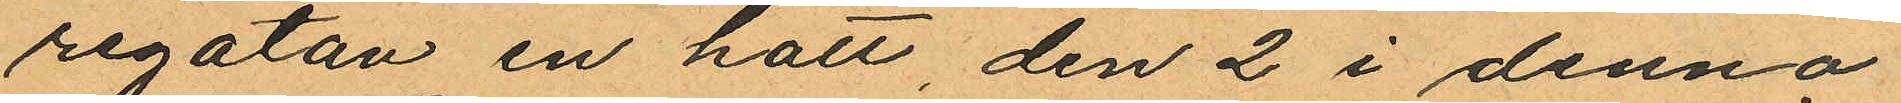regatan en hatt, den 2 i denna
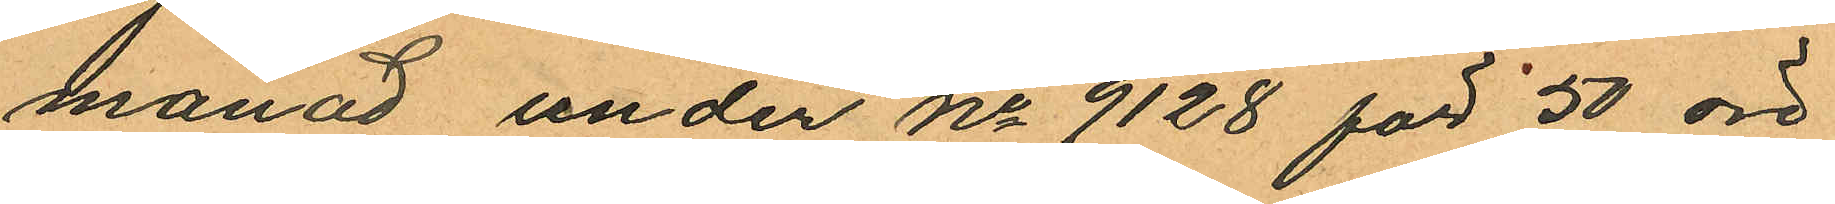månad under No 9128 för 50 öre
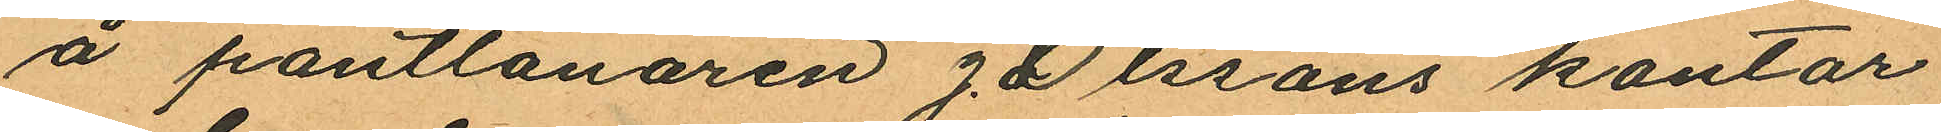å pantlånaren J Olssons kontor
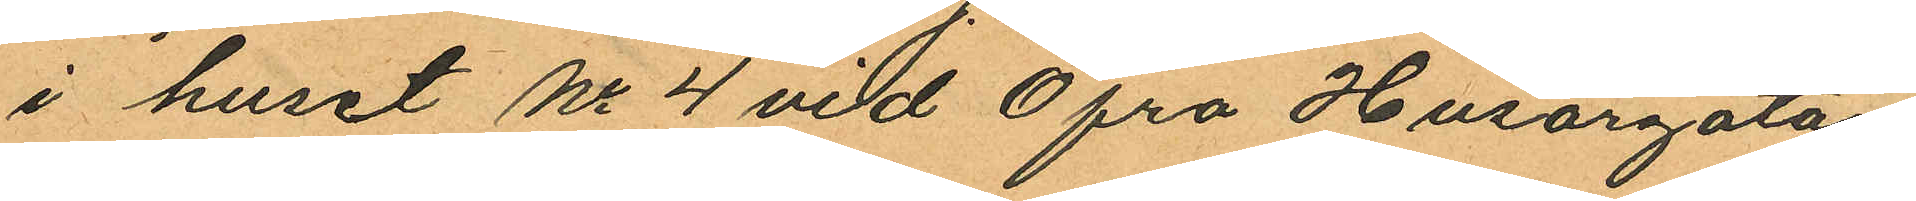i huset No 4 vid Öfra Husargatan
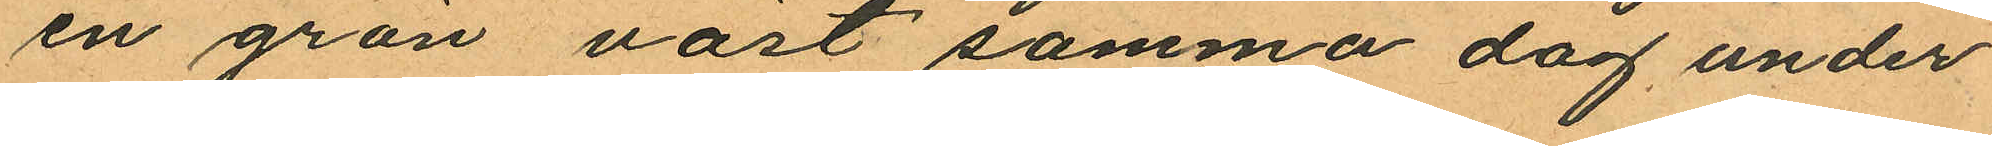en grön väst samma dag under
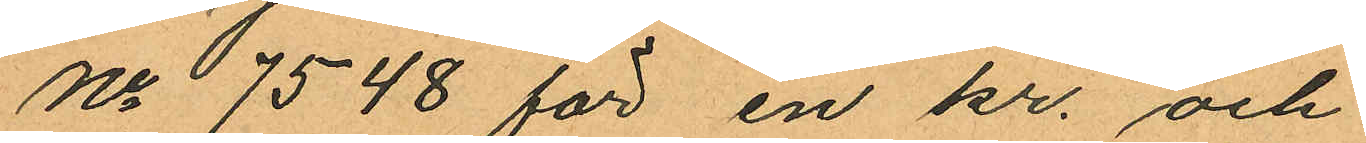No 7548 för en kr. och
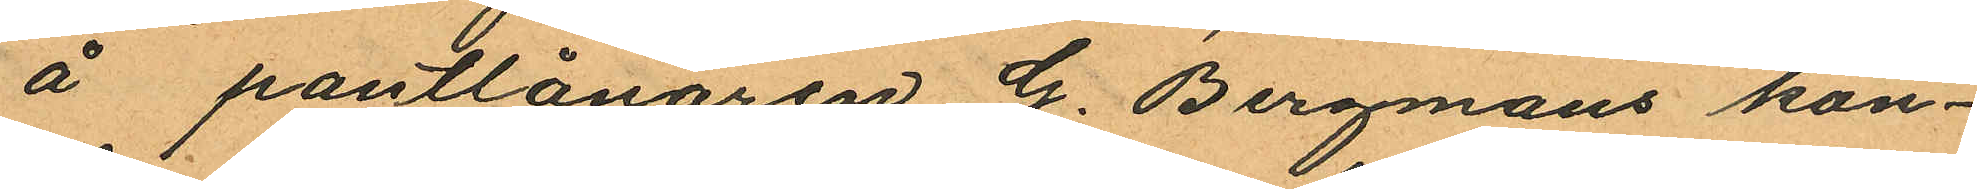å pantlånaren G. Bergmans kon¬
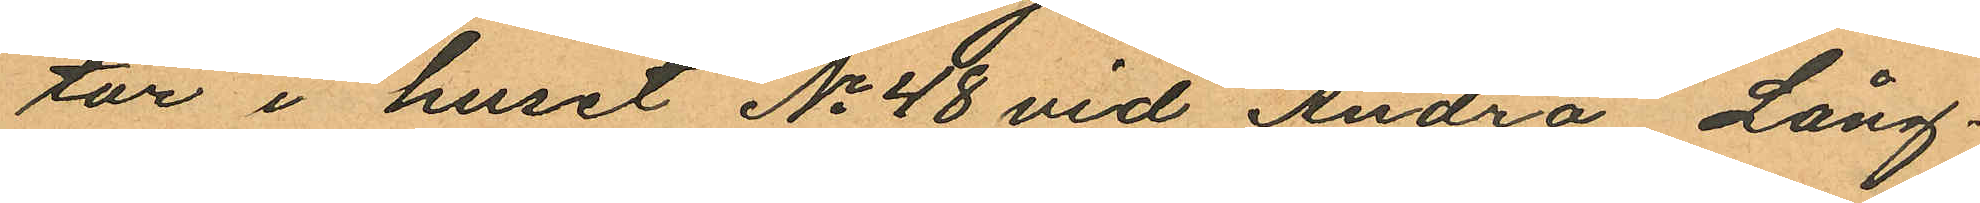tor i huset No 48 vid Andra Lång¬
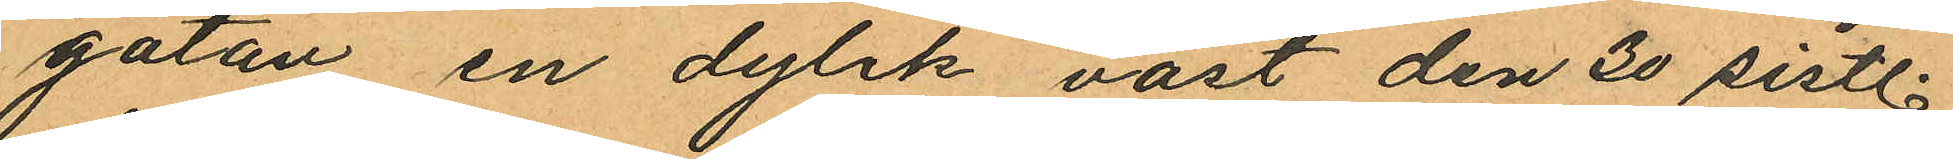gatan en dylik väst den 30 sistl.
